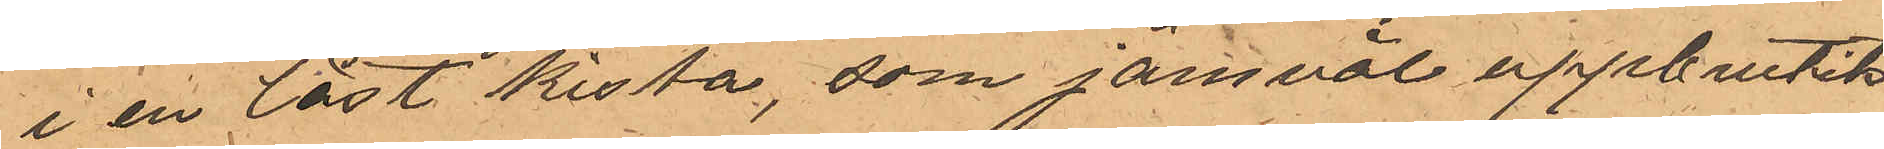i en låst kista, som jämväl uppbrutits
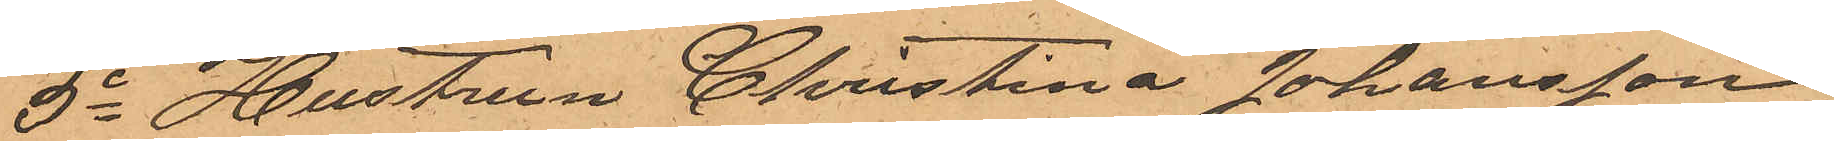3o Hustrun Christina Johansson,
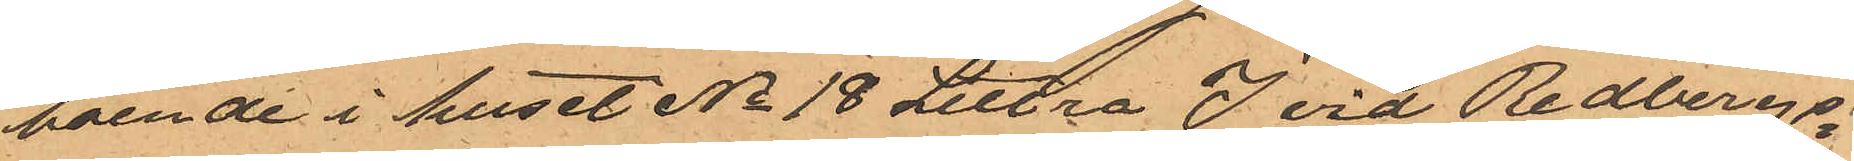boende i huset No 18 Littra J vid Redbergs¬
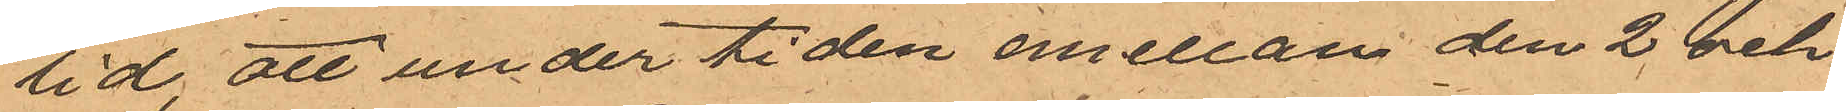lid, att under tiden emellan den 2 och
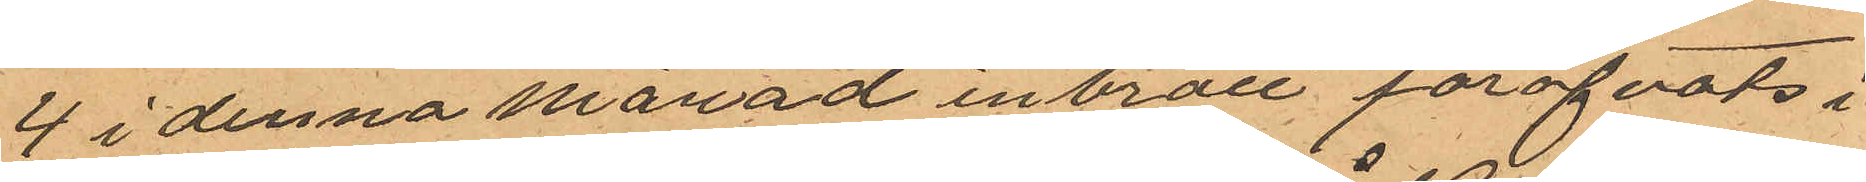4 i denna månad inbrott föröfvats i
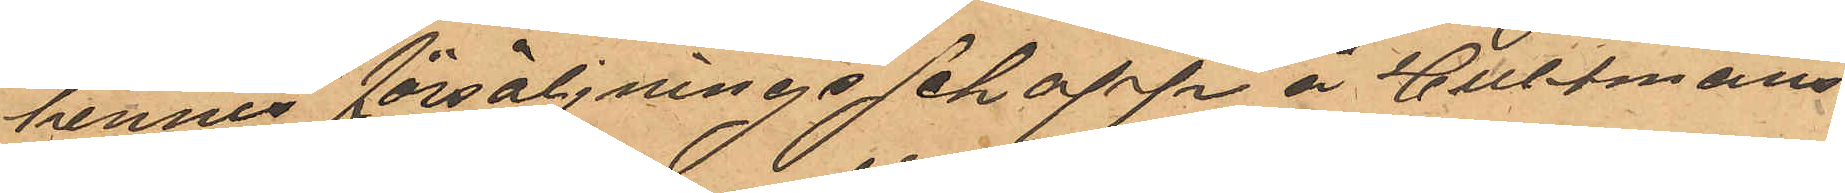hennes försäljningsschapp är Hultmans
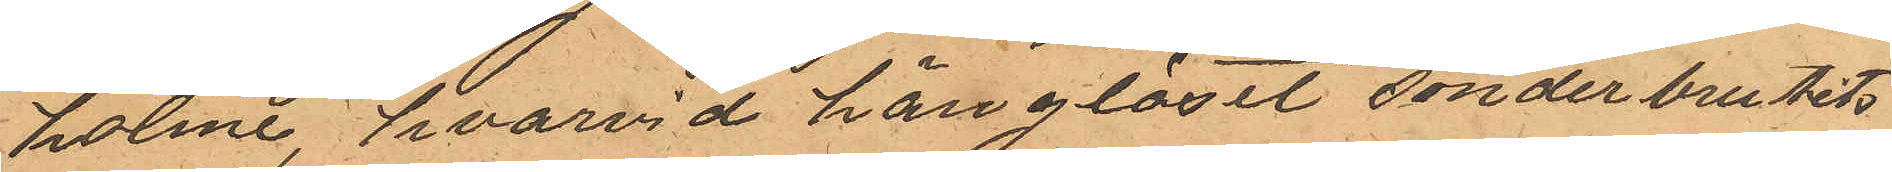holme, hvarvid hänglåset sönderbrutits
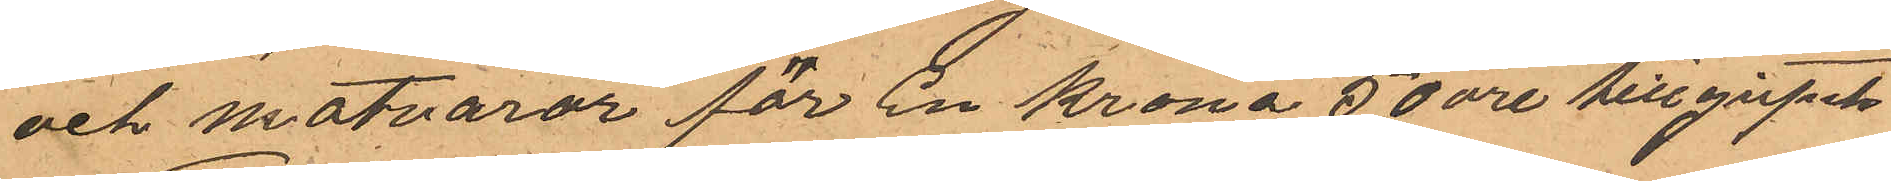och matvaror för En Krona 50 öre tillgripits
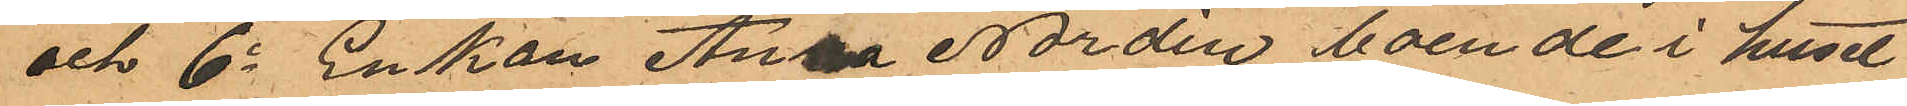och 6o Enkan Anna Nordin, boende i huset
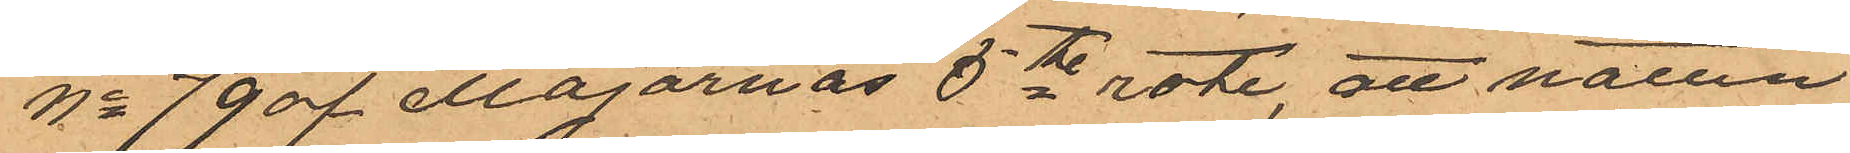No 79 af Majornas 5te rote, att natten
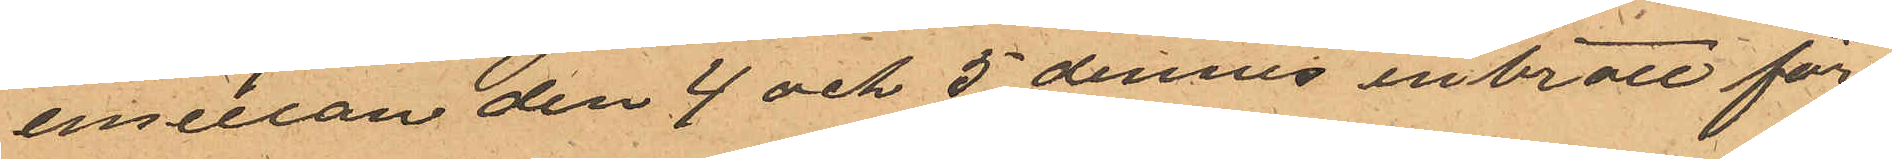emellan den 4 och 5 dennes inbrott för¬
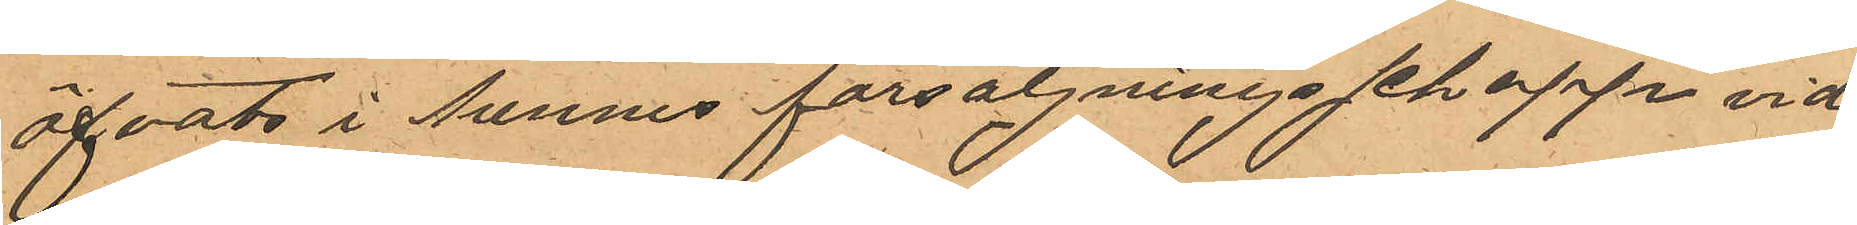öfvats i hennes försäljningsschapp vid
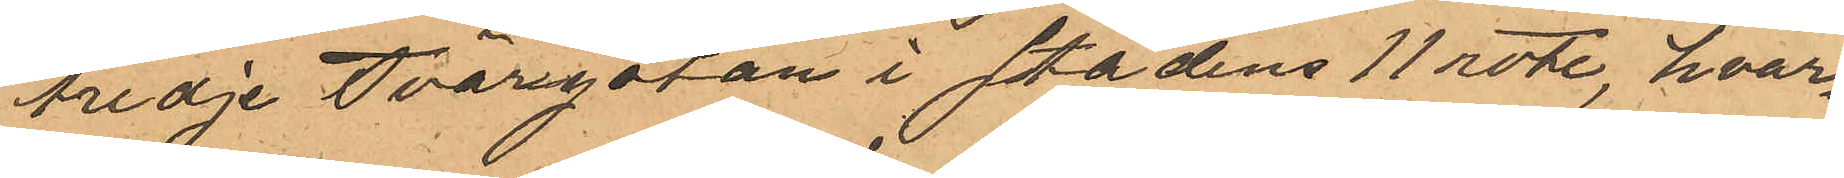tredje Tvärsgatan i stadens 11 rote, hvar¬
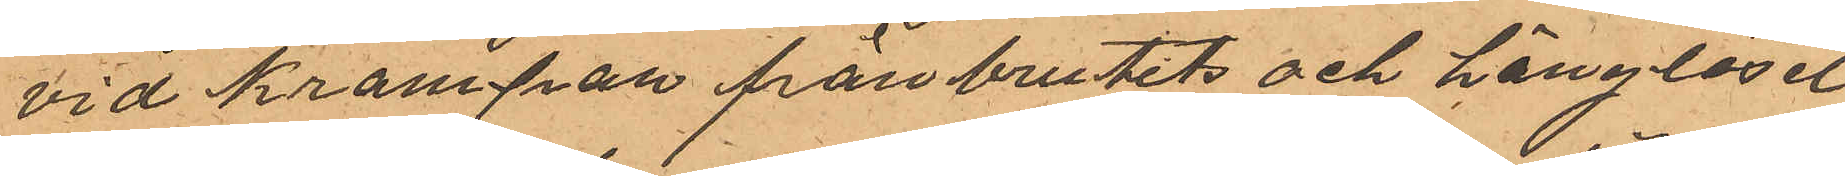vid krampan frånbrutits och hänglåset
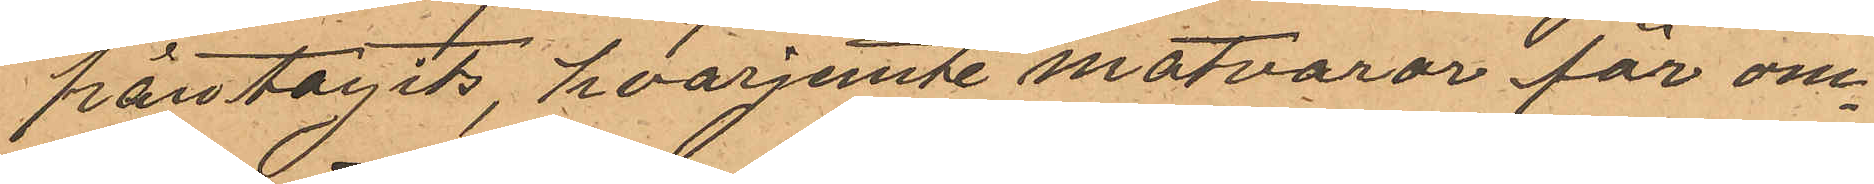fråntagits, hvarjemte matvaror för om¬
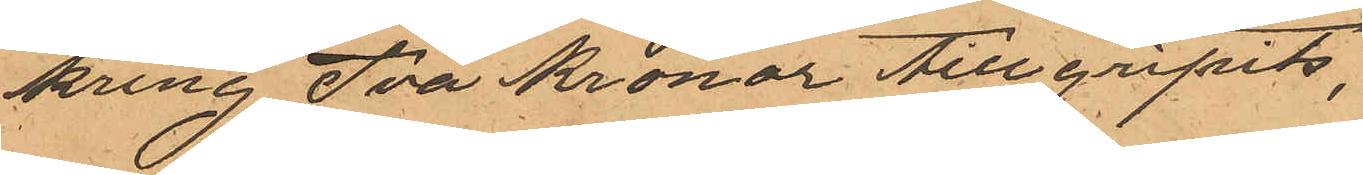kring Två Kronor tillgripits,
